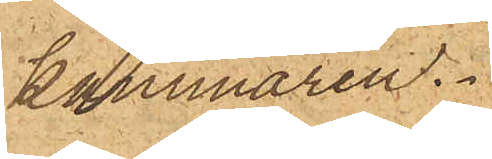kammaren.
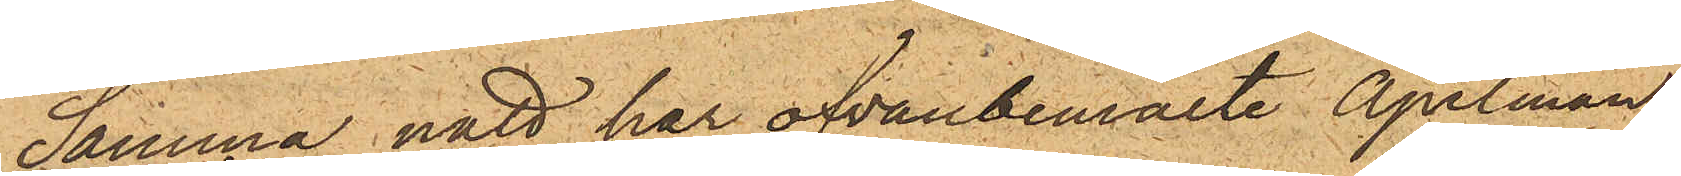Samma natt har ofvanbemälte Apelman
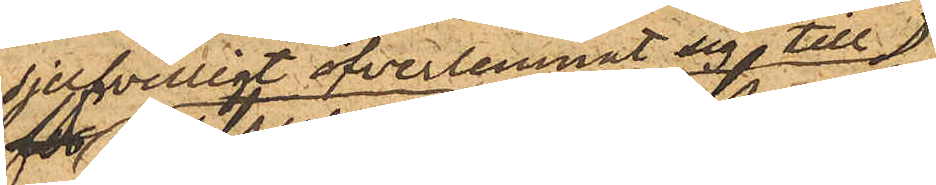sjelfvilligt öfverlemnat sig till
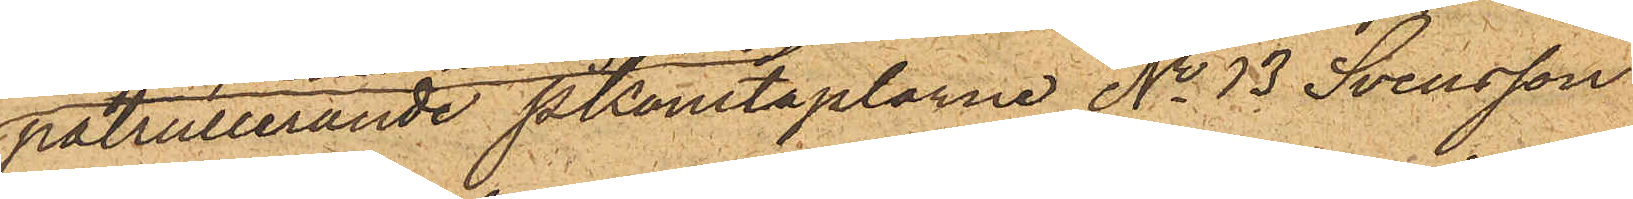patrullerande PKonstaplarne No 13 Svensson
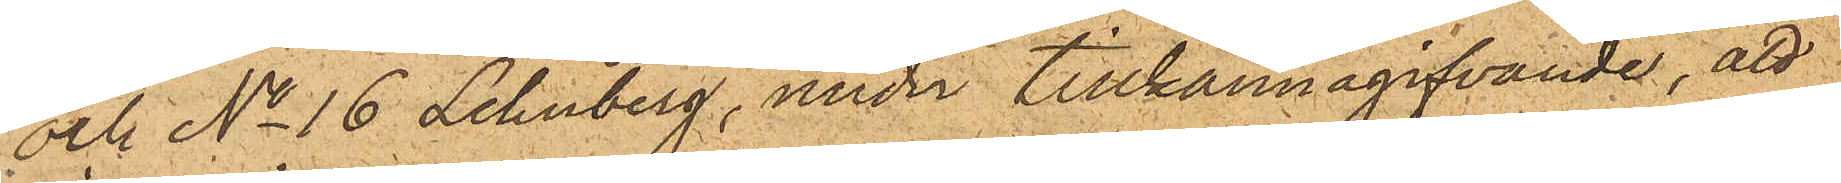och No 16 Lehnberg, under tillkännagifvande, att
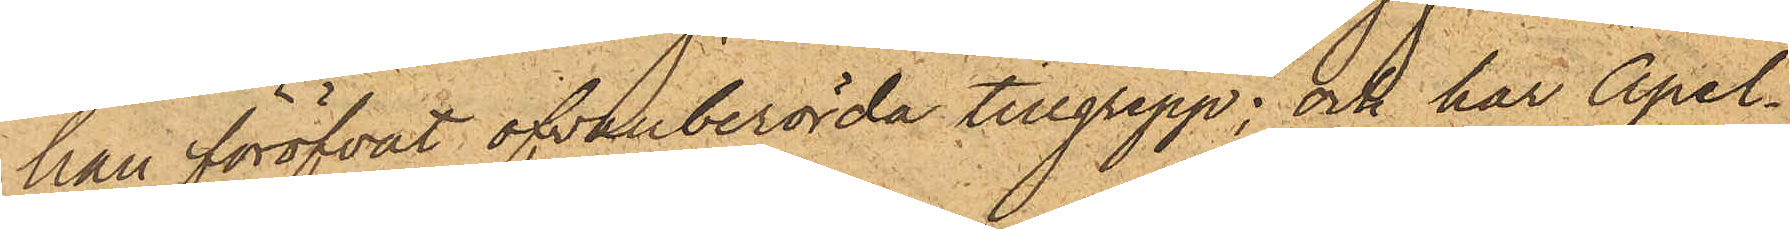han föröfvat ofvanberörda tillgrepp; och har Apel¬
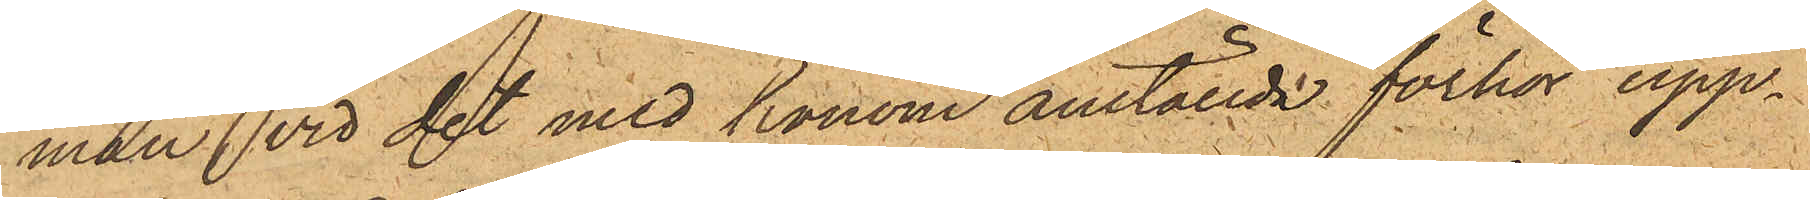man vid det med honom anställde förhör upp¬
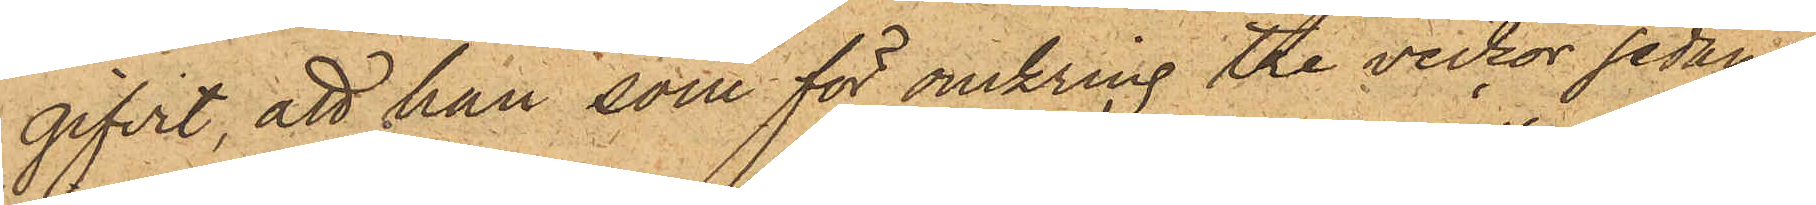gifvit, att han som för omkring tre veckor sedan
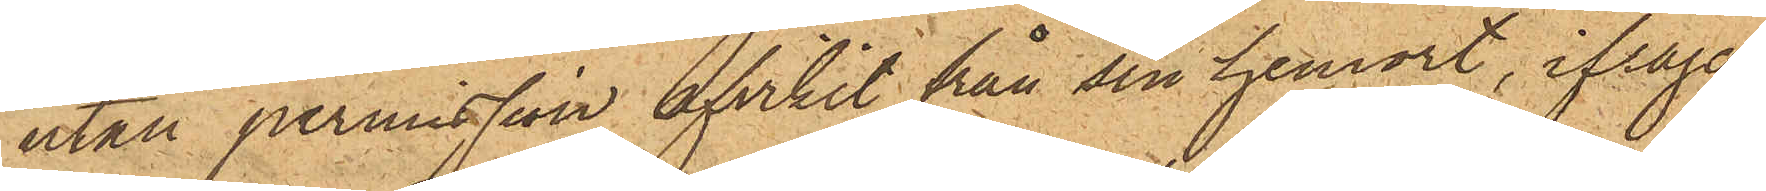utan permisson afvikit från sin hemort, ifråga¬
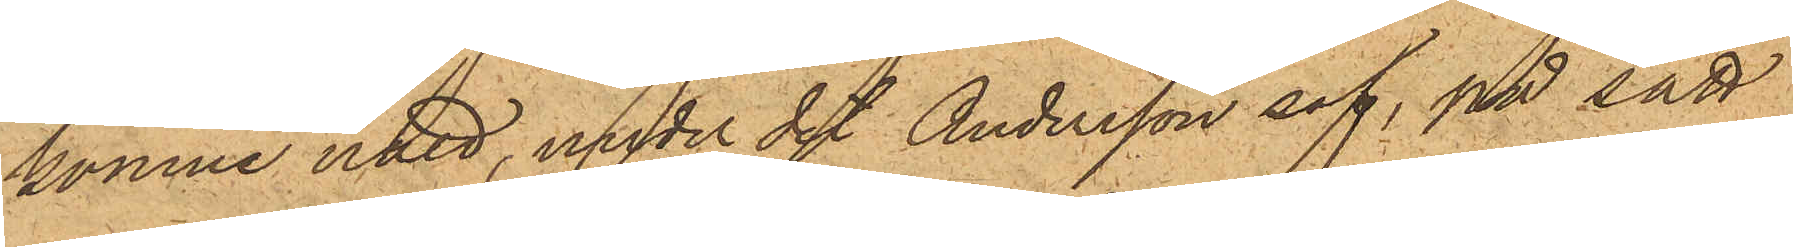komne natt, under det Andersson sof, på sätt
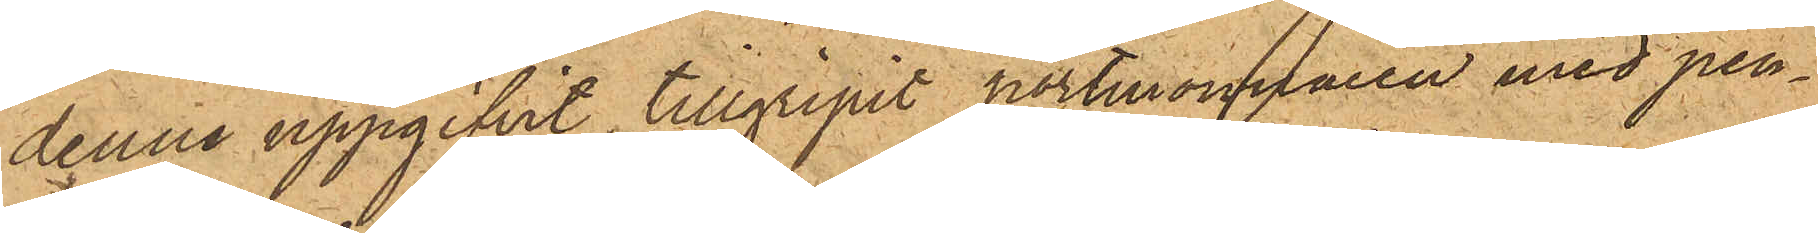denne uppgifvit, tillgripit portmonnaien med pen¬
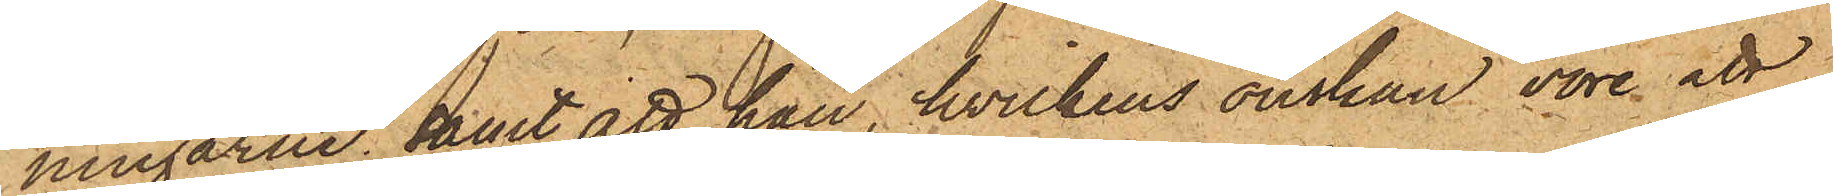ningarne; samt att han, hvilkens önskan vore att
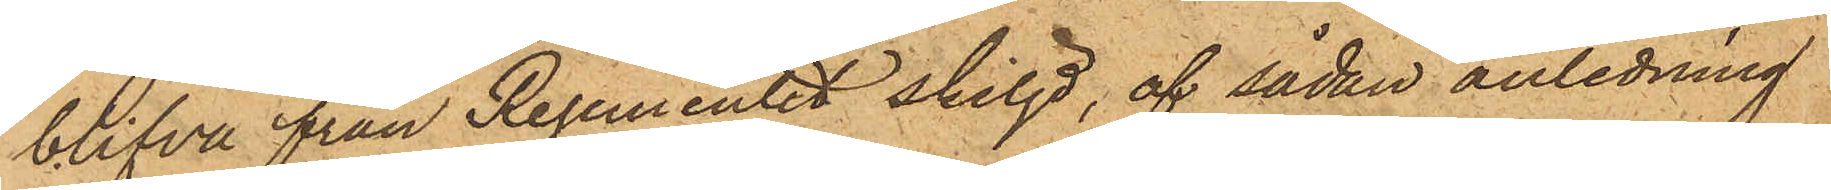blifva från Regementet skiljd, af sådan anledning
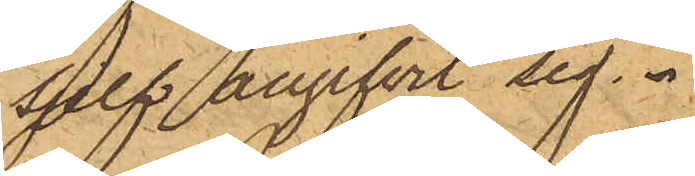sjelf angifvit sig.
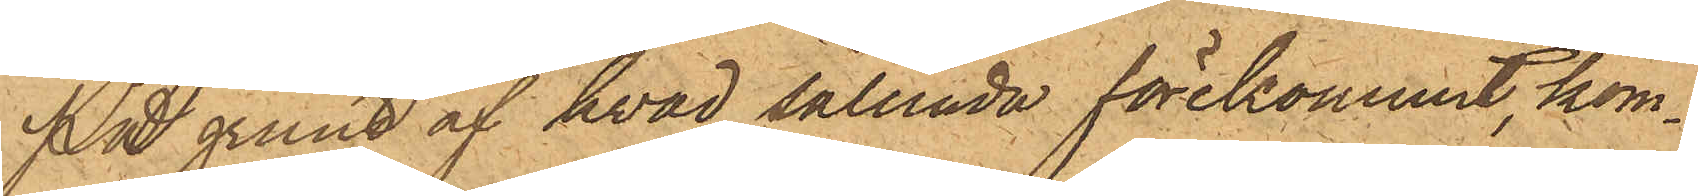På grund af hvad sålunda förekommit, kom¬
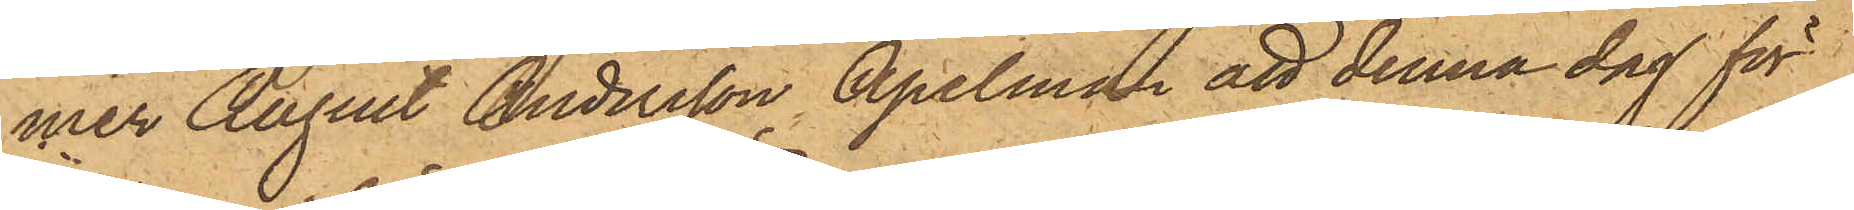mer August Andersson Apelman att denna dag för
